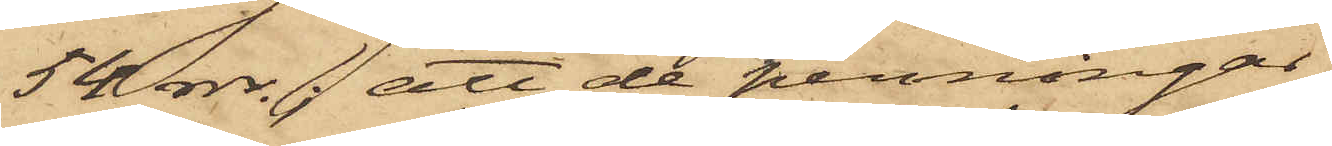54 rdr.; att de penningar
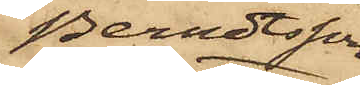Berndtsson
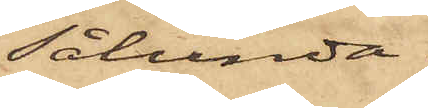sålunda
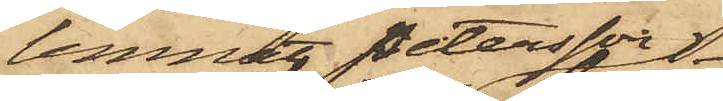lemnat Petersson 
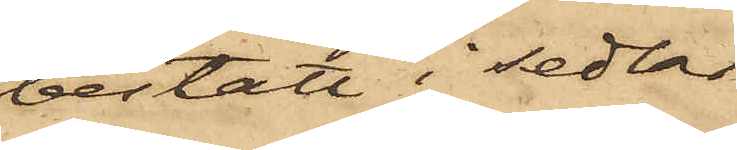bestått i sedlar
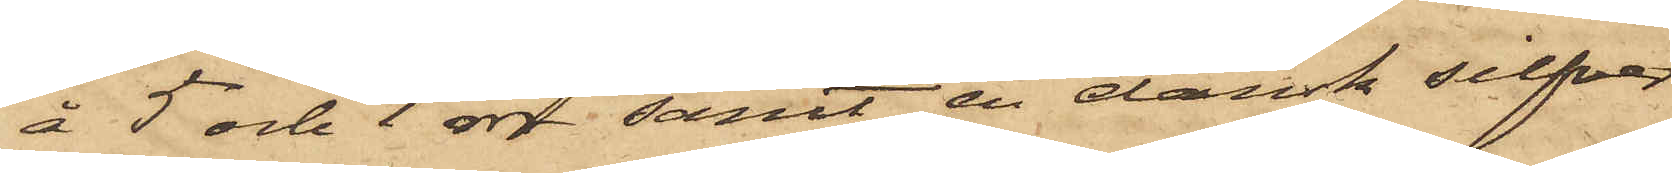å 5 och 1 rdr samt en dansk silfver¬
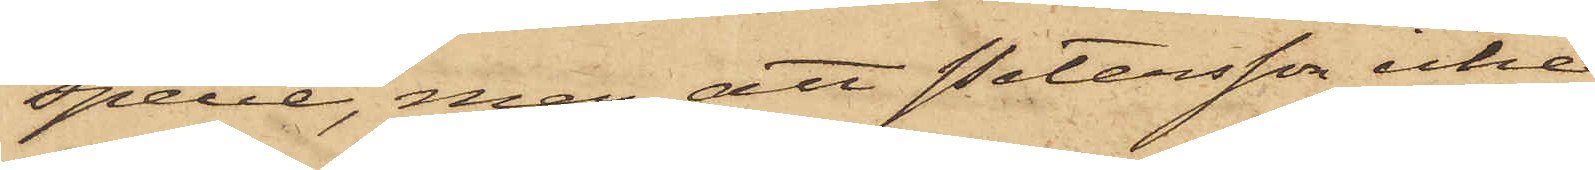specie, men att Petersson icke
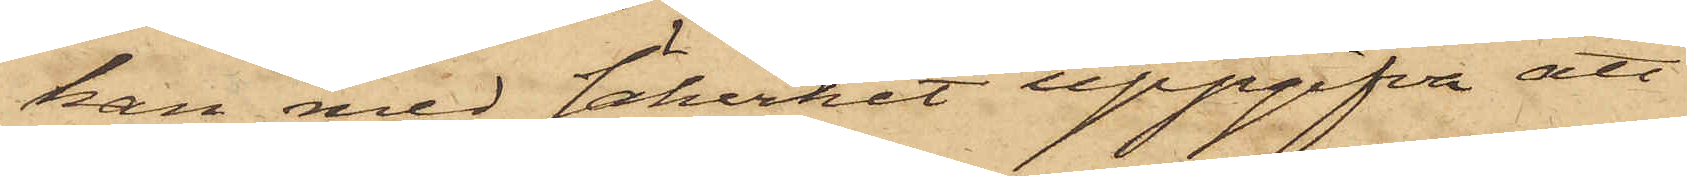kan med säkerhet uppgifva att
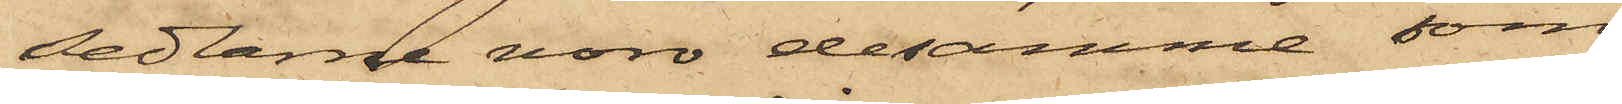sedlarne voro desamma, som
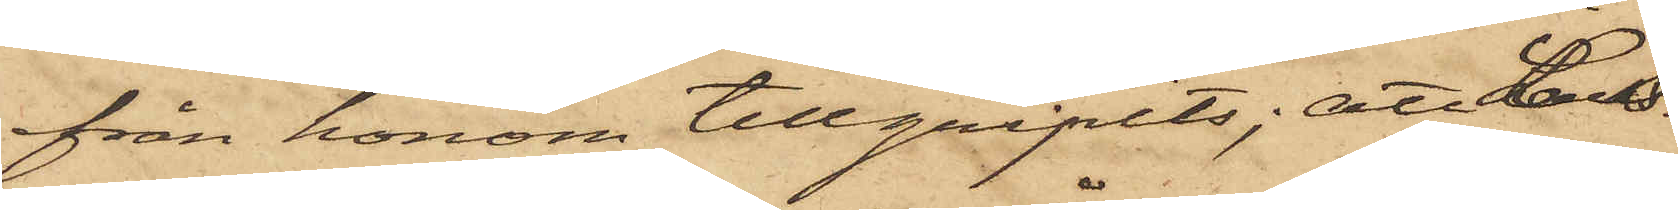från honom tillgripits; att Lars¬
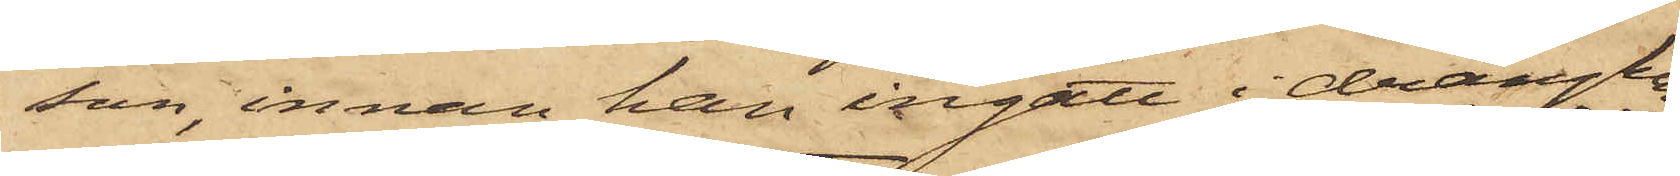son, innan han ingått i drängkam¬
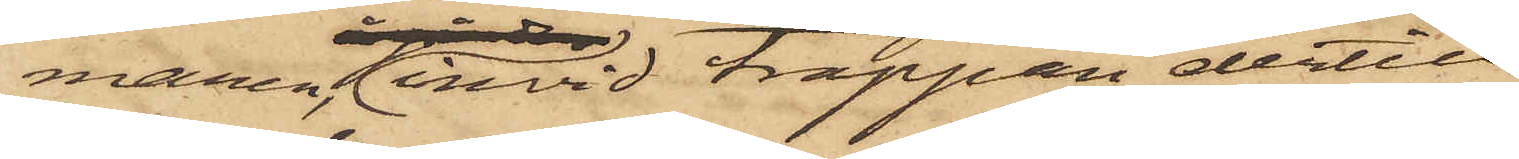maren, invid trappan dertill
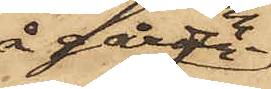å gården
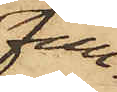fun¬
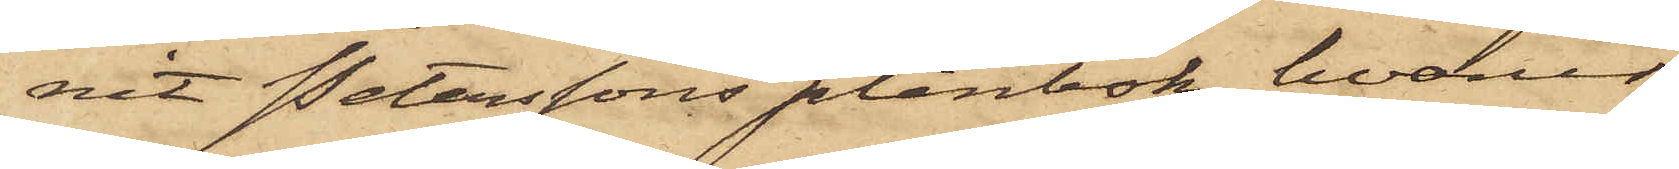nit Peterssons plånbok, hvarur
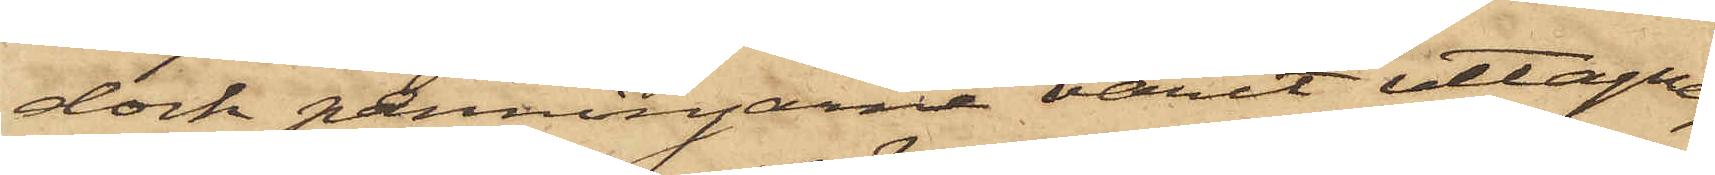dock penningarne varit uttagne,
